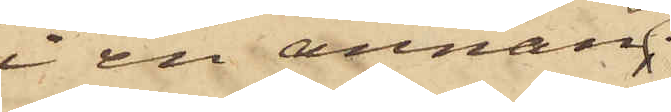i en annan
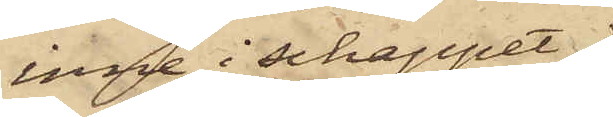inne i schappet;
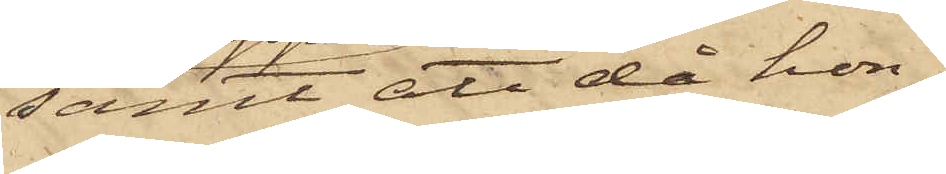samt att då hon
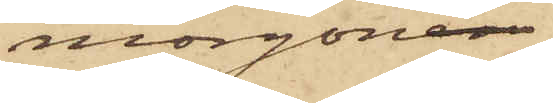morgonen
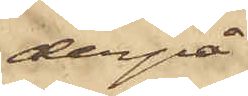derpå
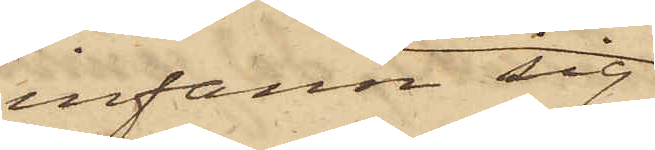infann sig
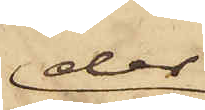der
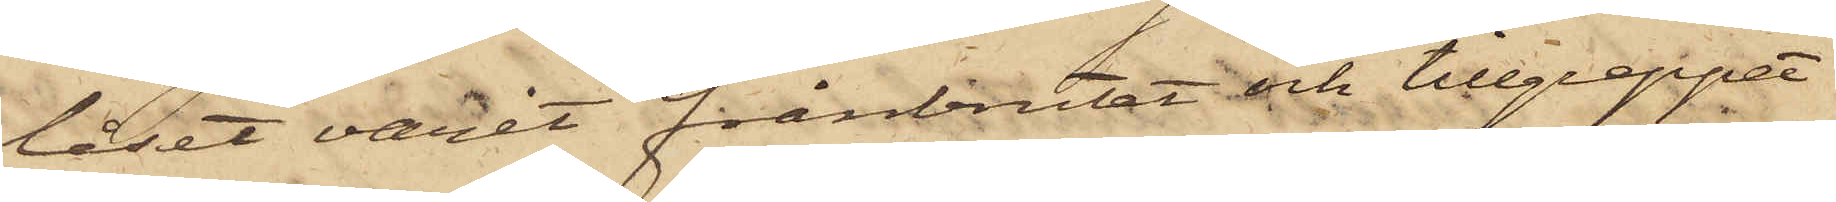låset varit frånbrutet och tillgreppet
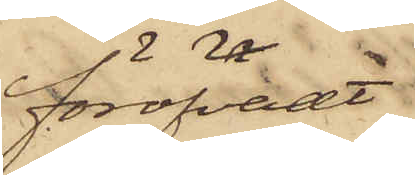föröfvat
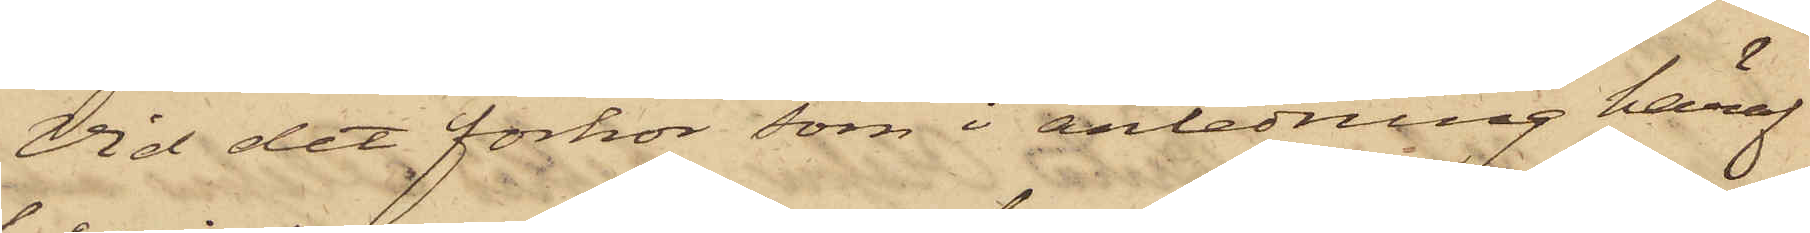Vid det förhör som i anledning häraf
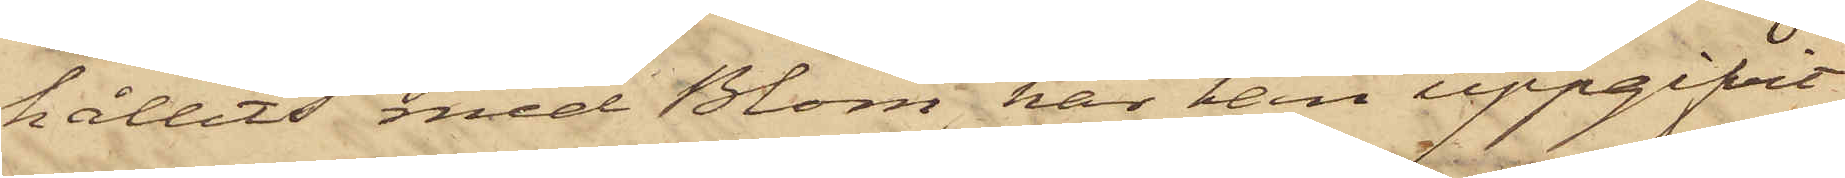hållits med Blom, har han uppgifvit
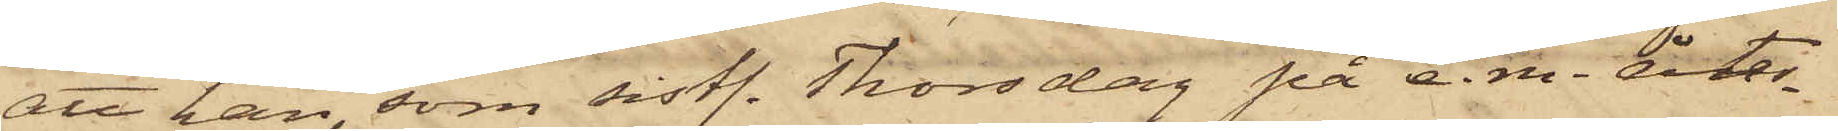att han, som sistl. Thorsdag på e.m. åter¬
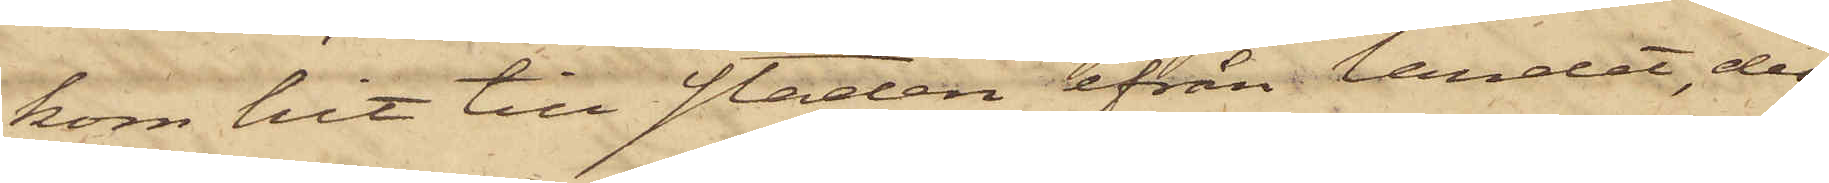kom hit till staden ifrån landet, der
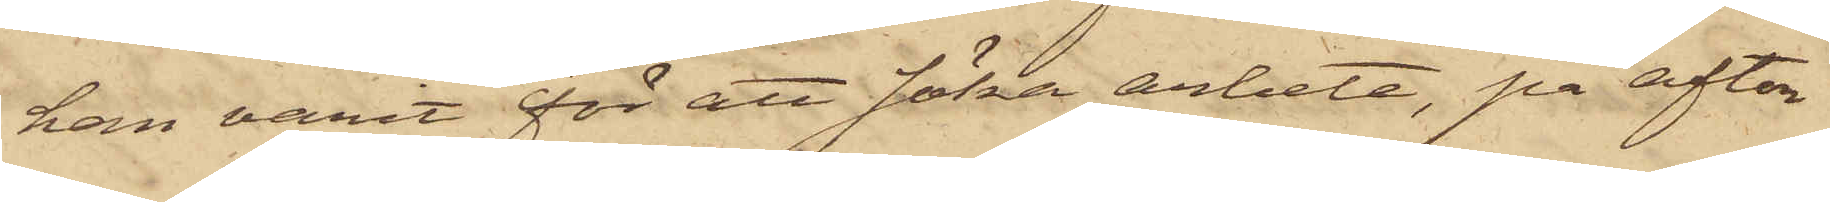han varit för att söka arbete, på afton
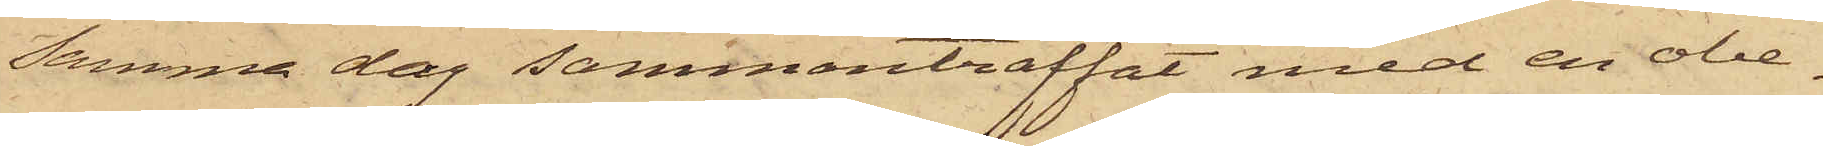samma dag sammanträffat med en obe¬
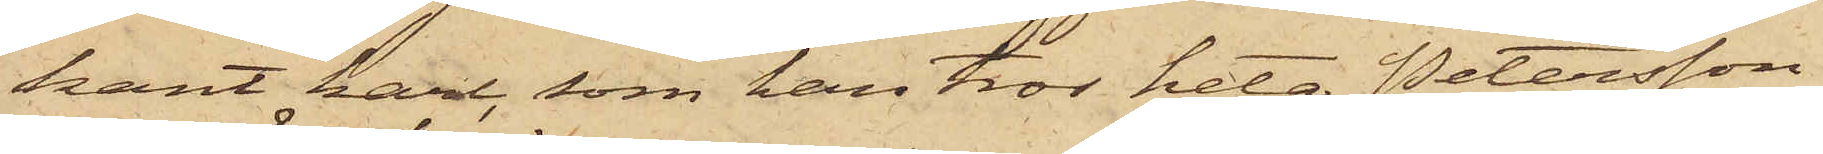kant karl, som han tror heta Petersson
